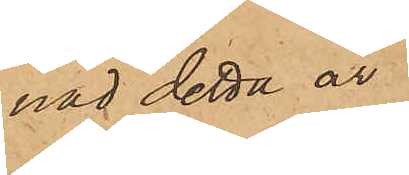nad detta år
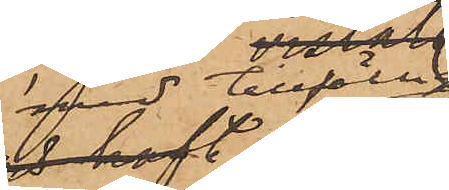med tillfälligt
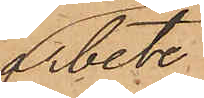arbete
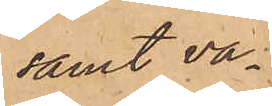samt va¬
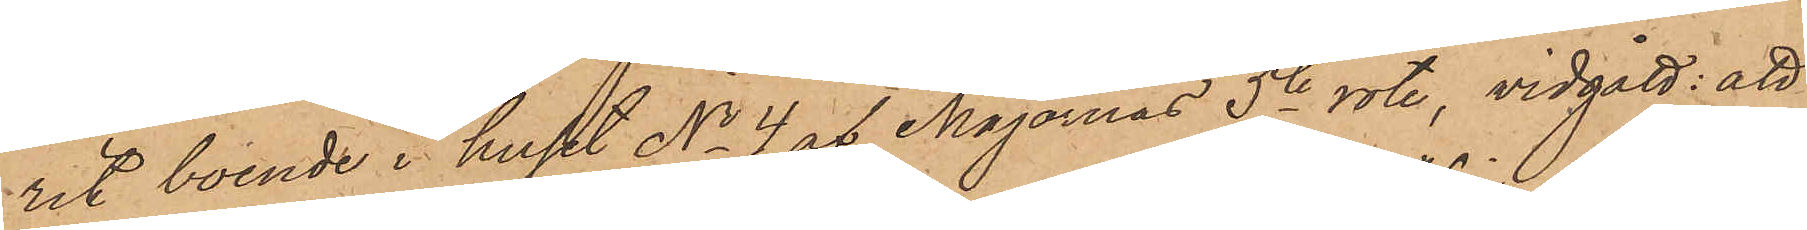rit boende i huset No 4 af Majornas 5te rote, vidgått; att
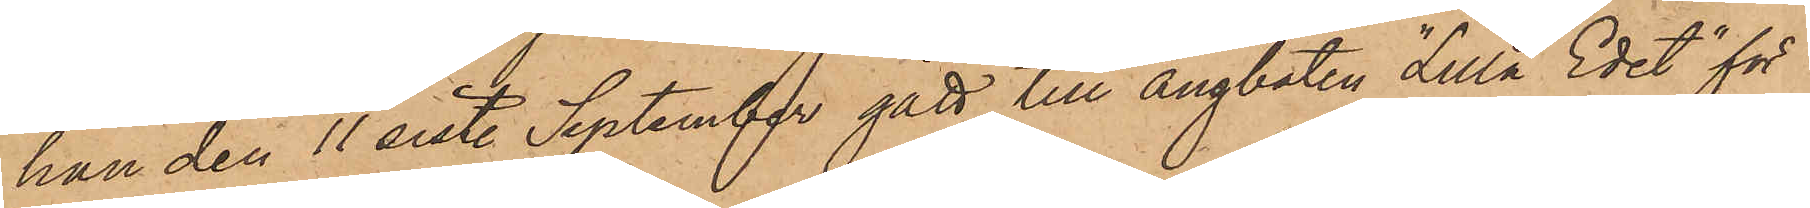han den 11 sist. September gått till ångbåten "Lilla Edet" för
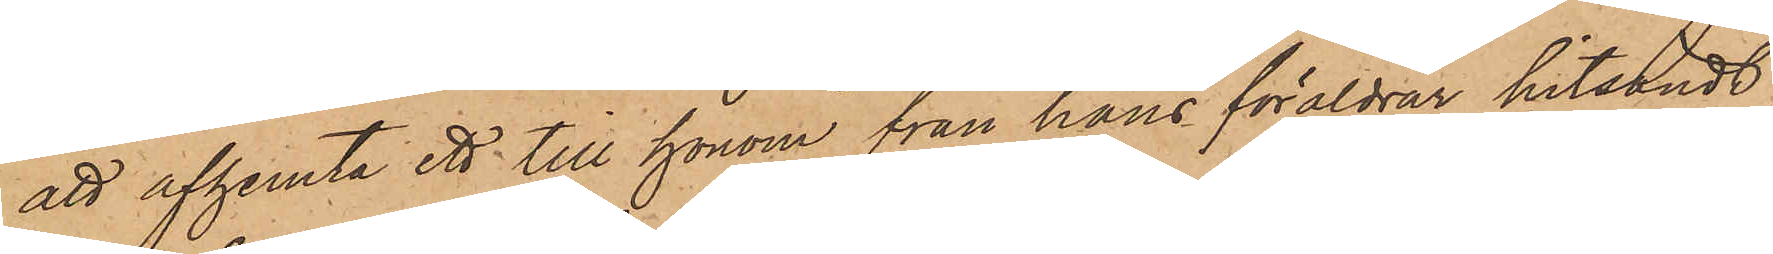att afhemta ett till honom från hans föräldrar hitsändt
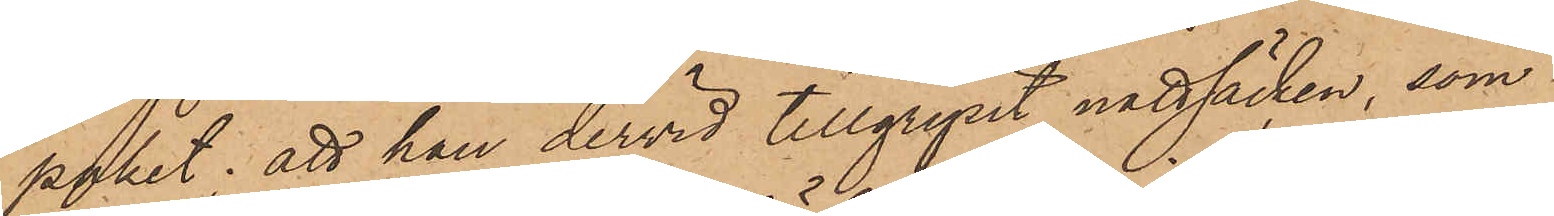paket; att han dervid tillgripit nattsäcken, som
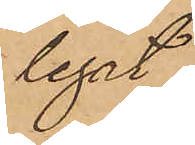legat
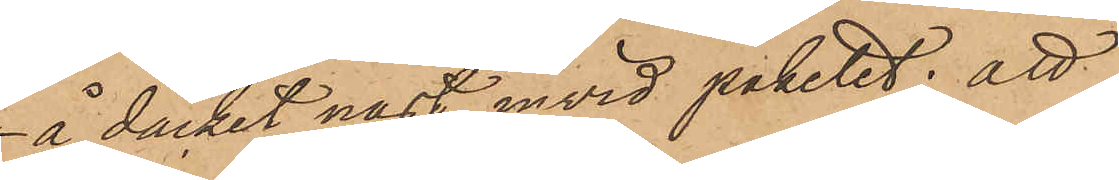å däcket näst invid paketet; att
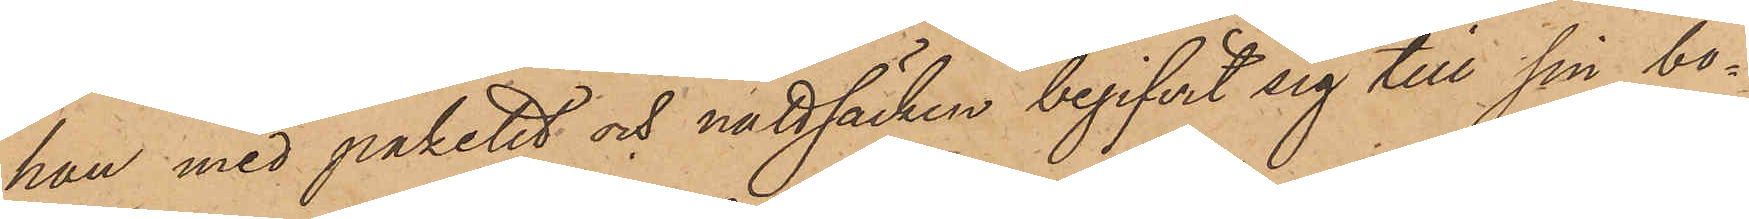han med paketet och nattsäcken begifvit sig till sin bo¬
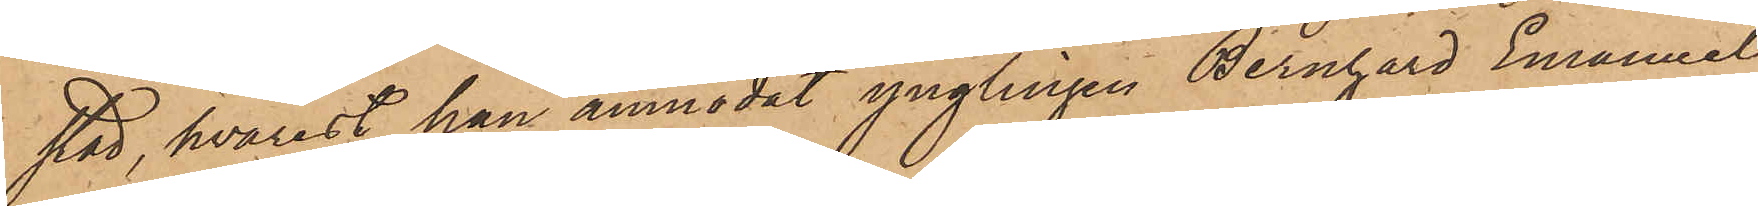stad, hvarest han anmodat ynglingen Bernhard Emanuel
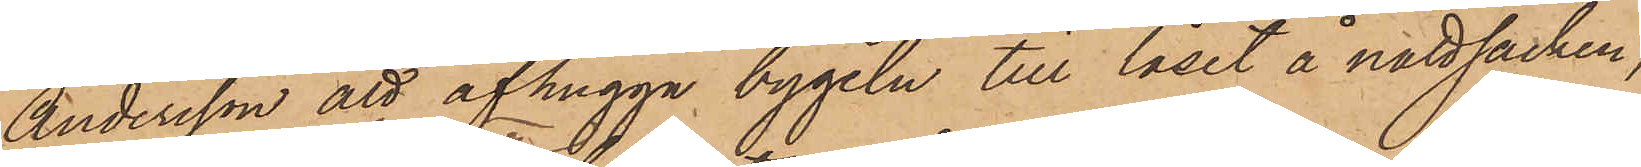Andersson att afhugga bygeln till låset å nattsäcken,
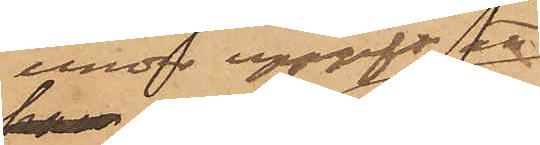under uppgift att
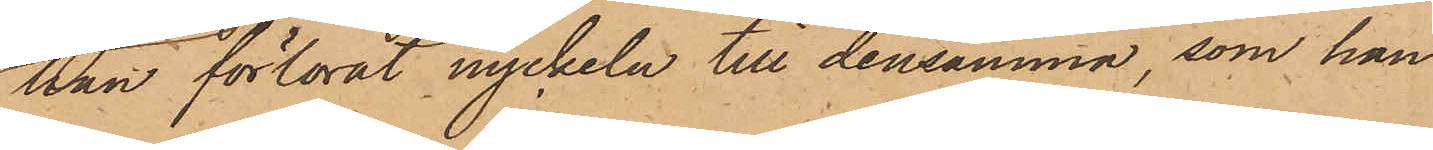han förlorat nyckeln till densamma, som han
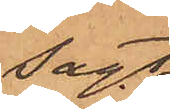sagt
